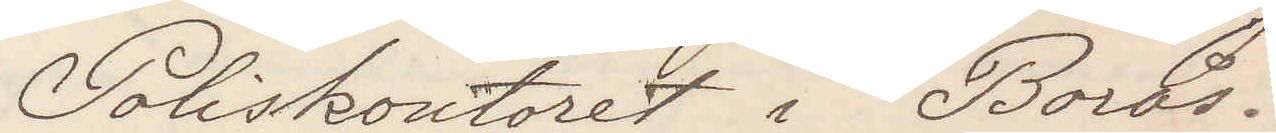Poliskontoret i Borås.
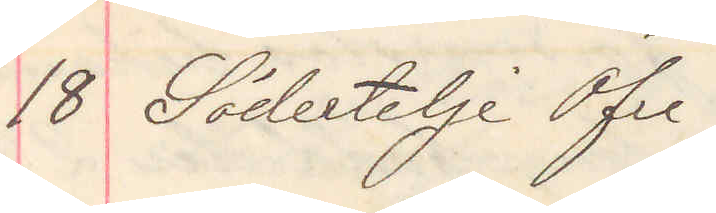18 Södertelje Öfre
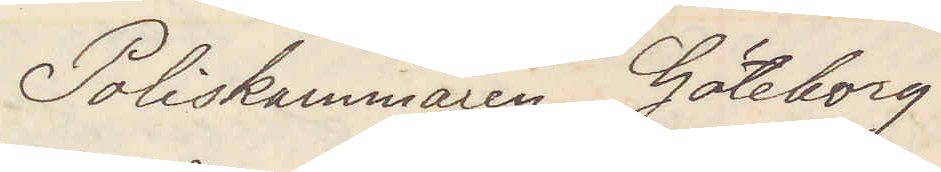Poliskammaren Göteborg
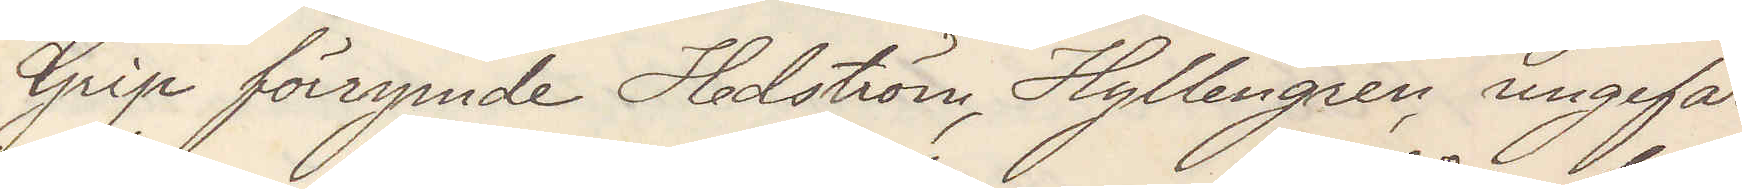Grip förrymde Hedström Hyllengren ungefär
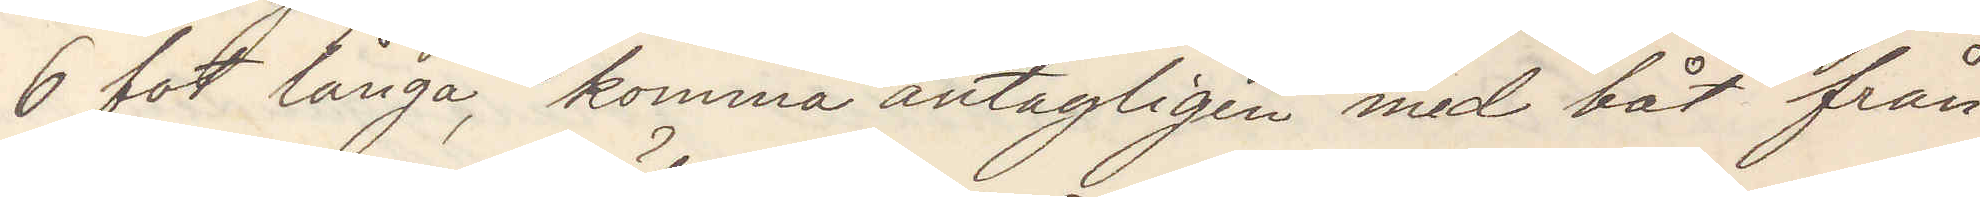6 fot långa, komma antagligen med båt från
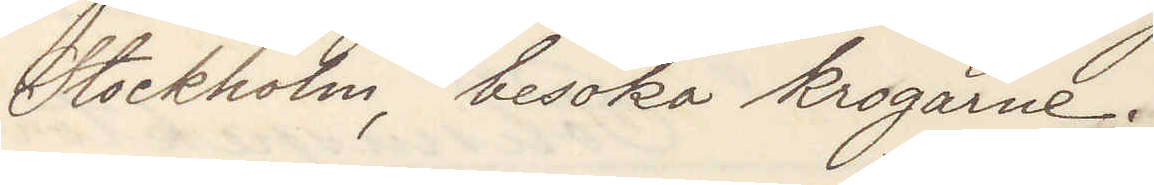Stockholm, besöka krogarne.
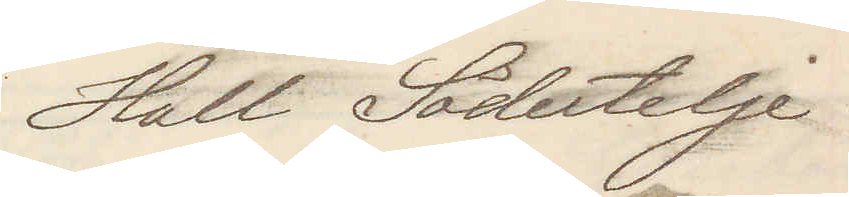Hall Södertelje
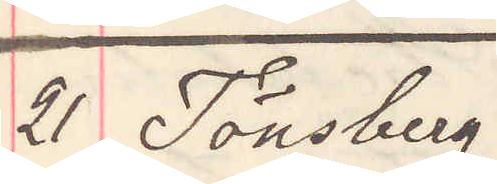21 Tönsberg
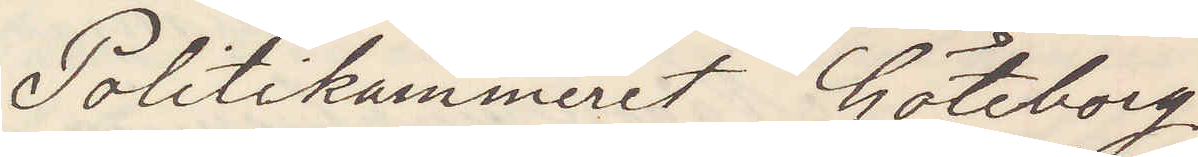Politikammeret Göteborg
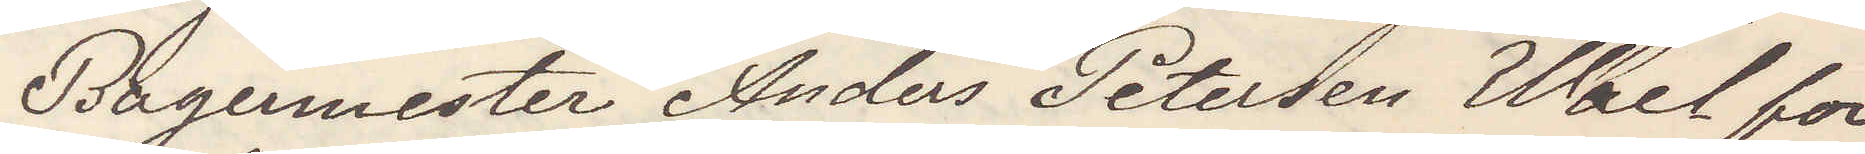Bagaremester Anders Petersen Wael for¬
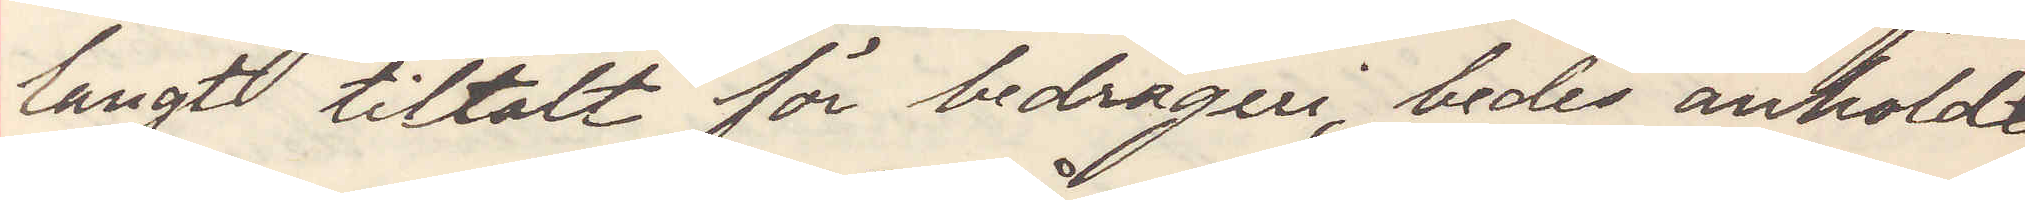langt tiltalt för bedrägeri, bedes anholdt
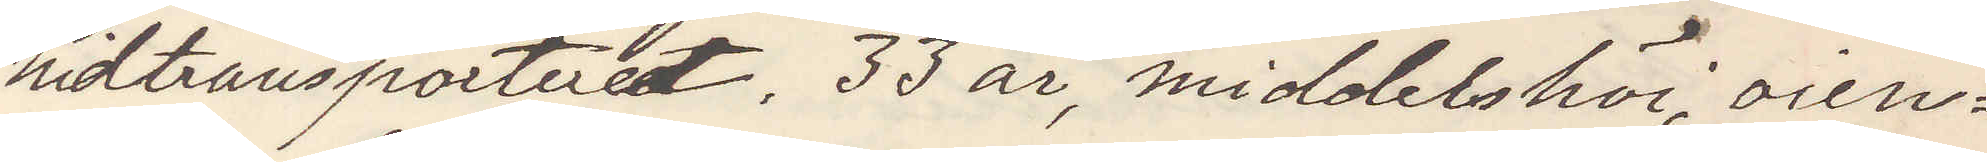hidtransporteret. 33 år, middelshöi, oien¬
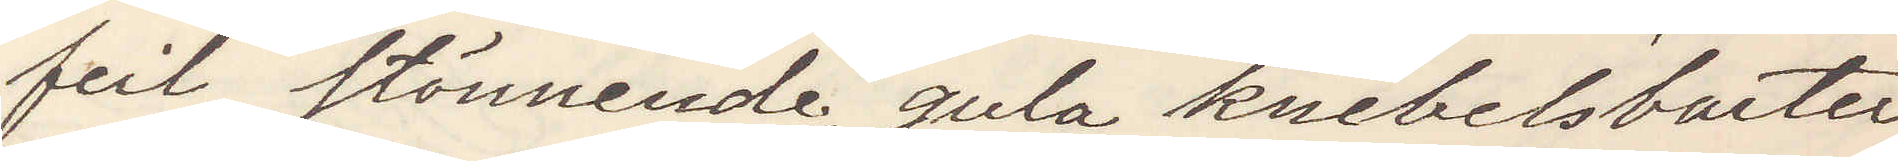feil, stönnende, gula knebelsbarter
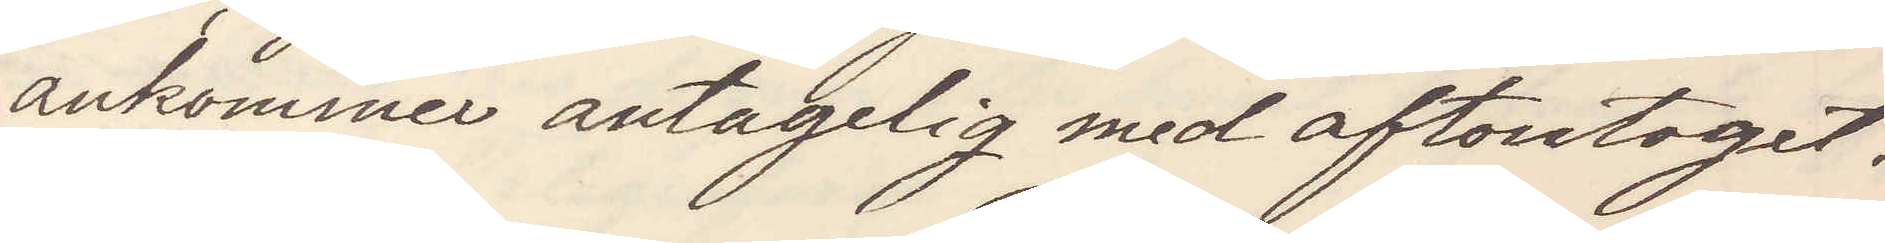ankommen antagligen med aftontoget.
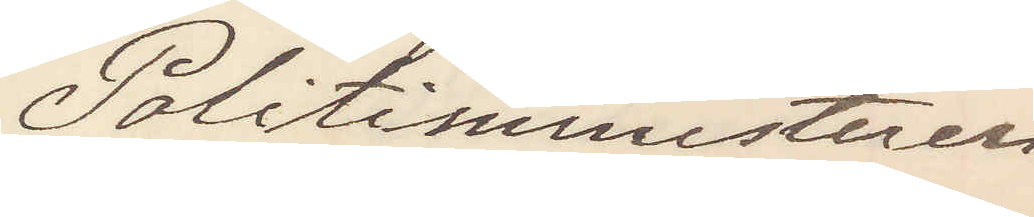Politiministeren
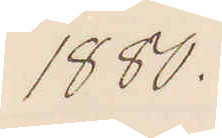1880.
